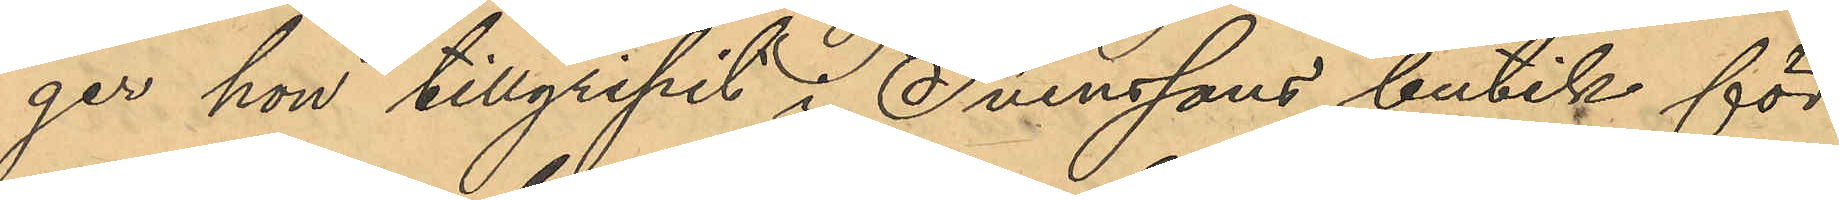ger hon tillgripit i Svenssons butik för
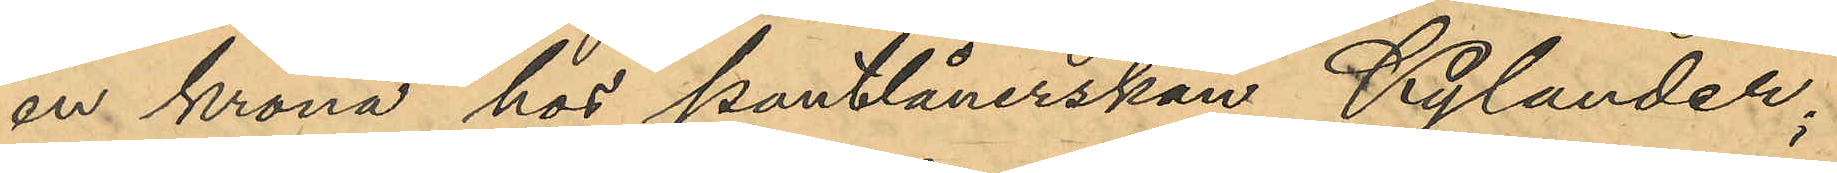en krona hos pantlånerskan Kylander;
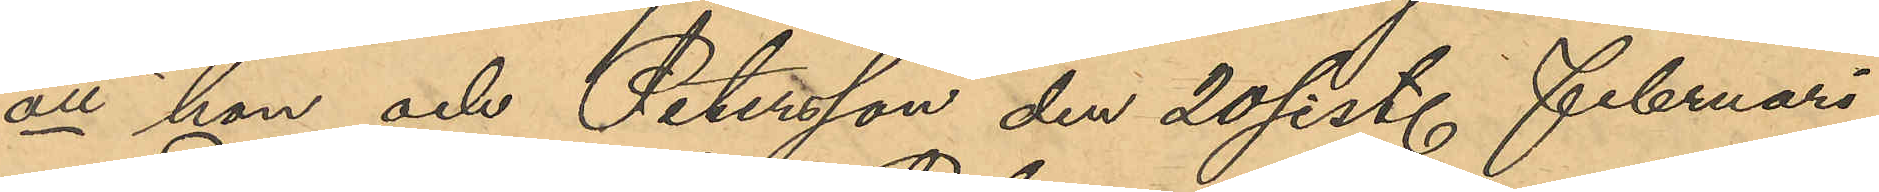att hon och Petersson den 20 sist. Februari
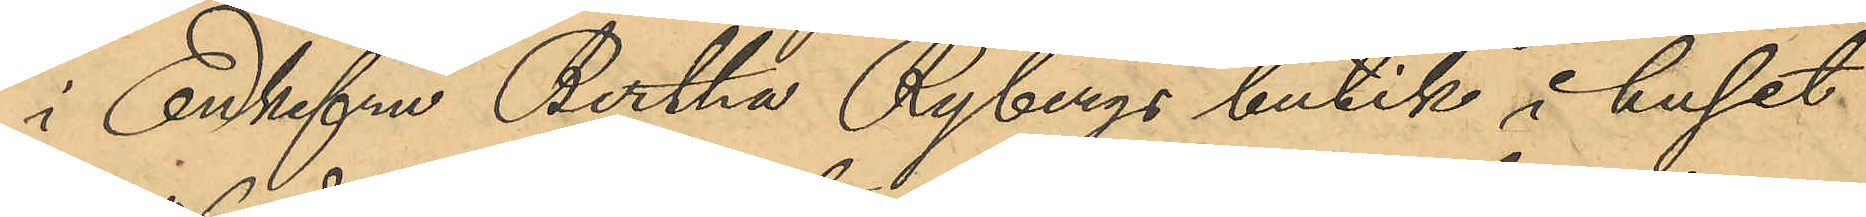i Enkefru Bertha Rybergs butik i huset
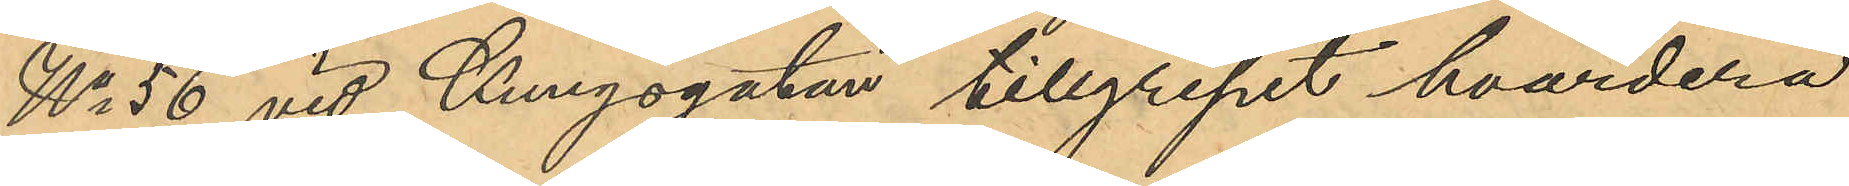No 56 vid Kungsgatan tillgripit hvardera
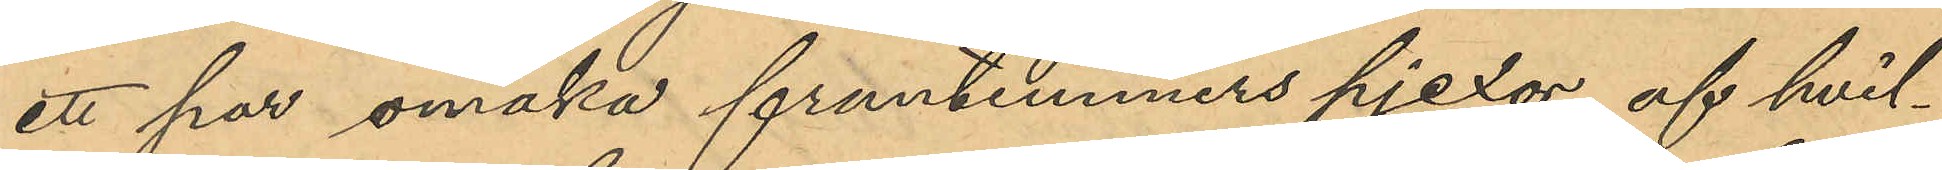ett par omaka fruntimmerspjexor, af hvil¬
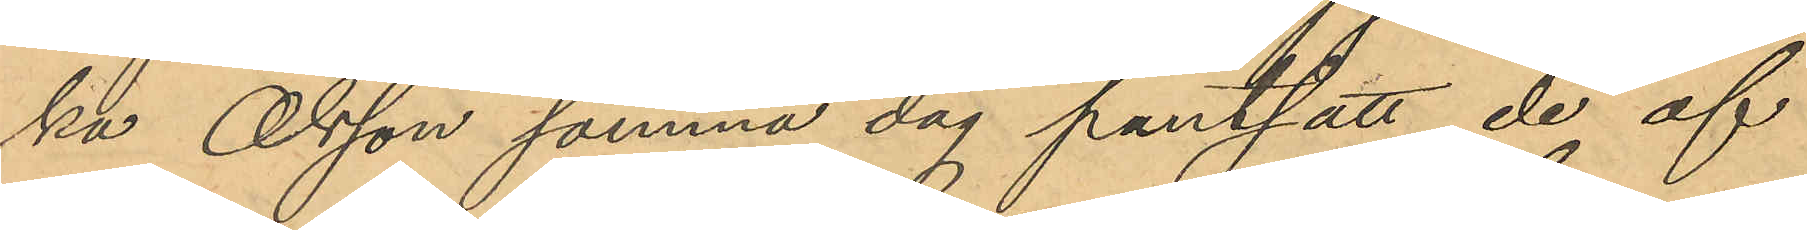ka Olsson samma dag pantsatt de af
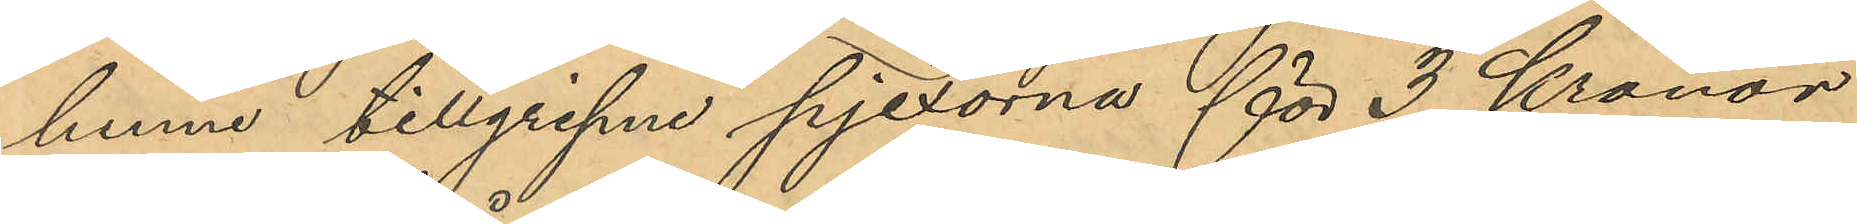henne tillgripne pjexorna för 3 Kronor
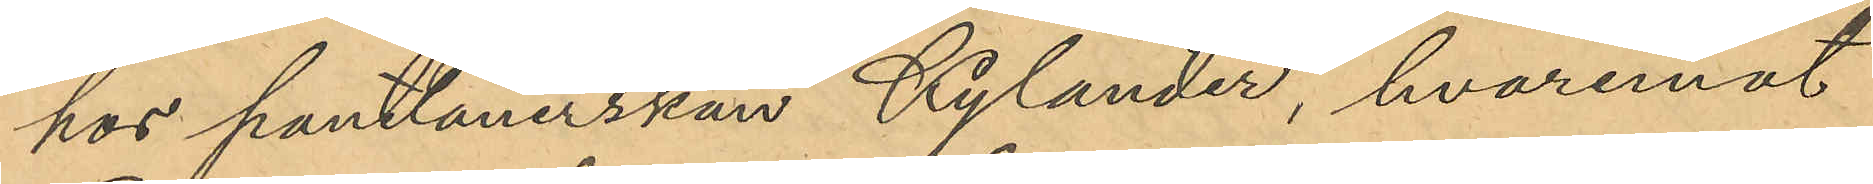hos pantlånerskan Kylander, hvaremot
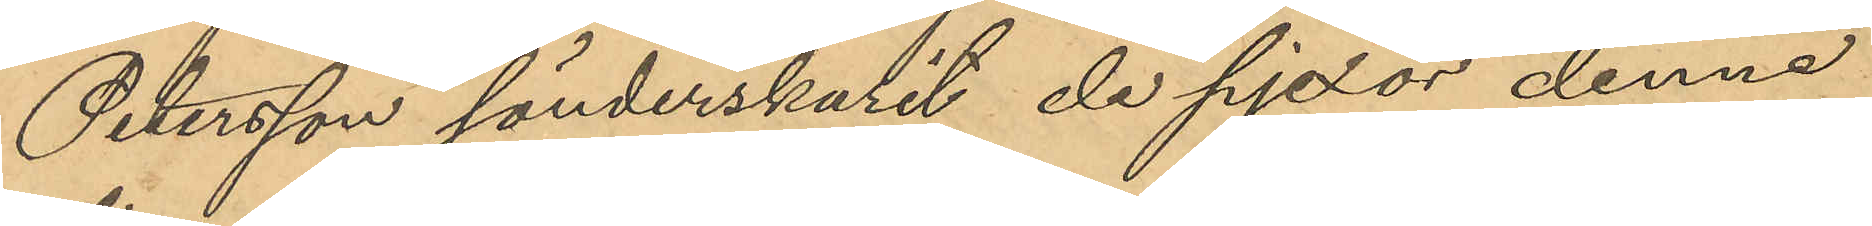Petersson sönderskurit de pjexor denna
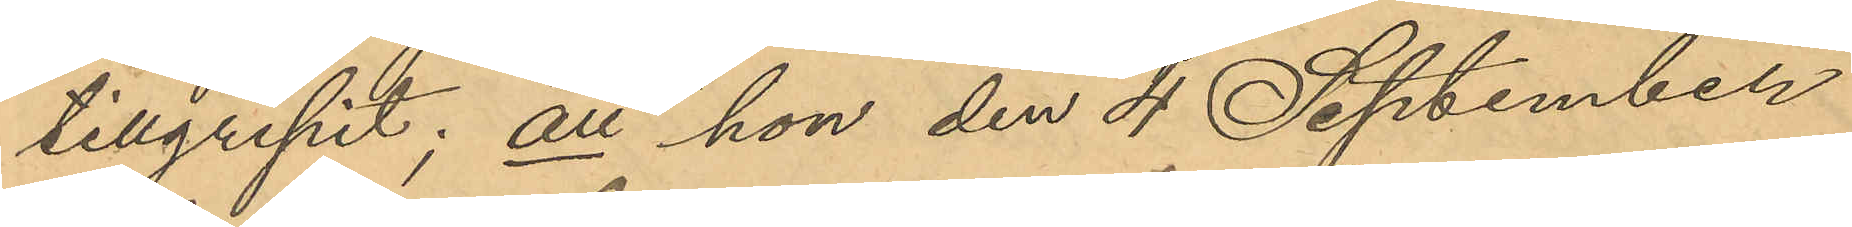tillgripit; att hon den 4 September
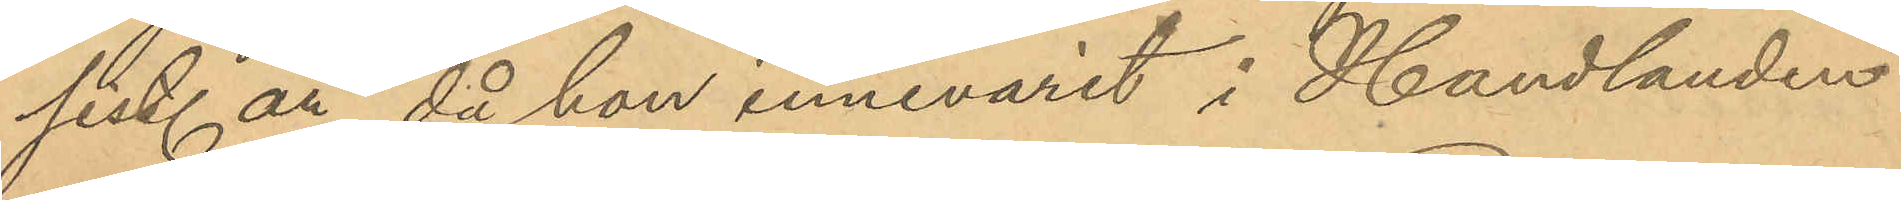sist. år, då hon innevarit i Handlanden
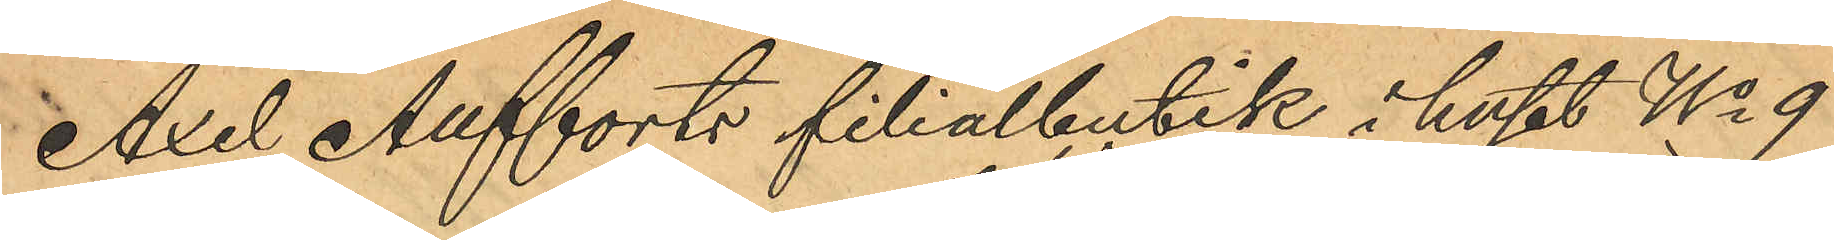Axel Aufforts filialbutik i huset No 9
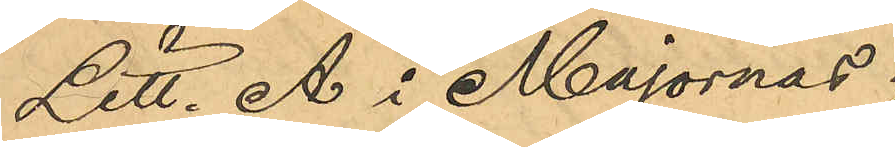Litt. A i Majornas.
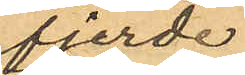fjerde
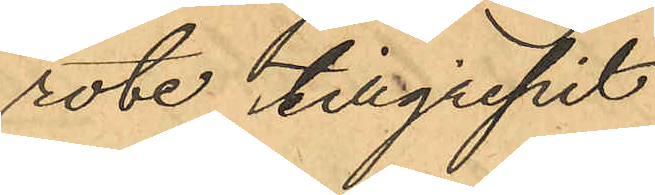rote tillgripit
